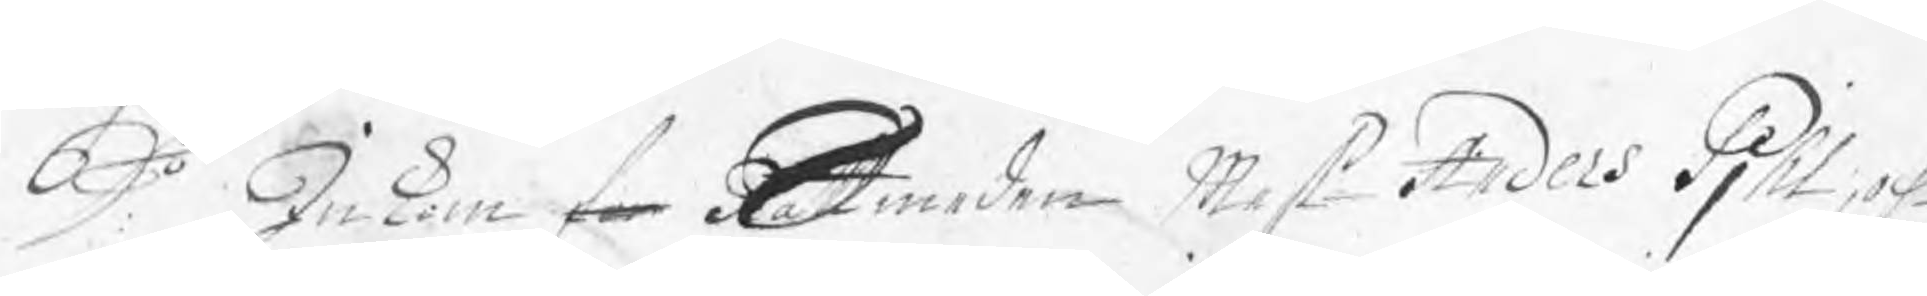Do Inkom for Rätt Smeden Mest Anders Pjhl, och 
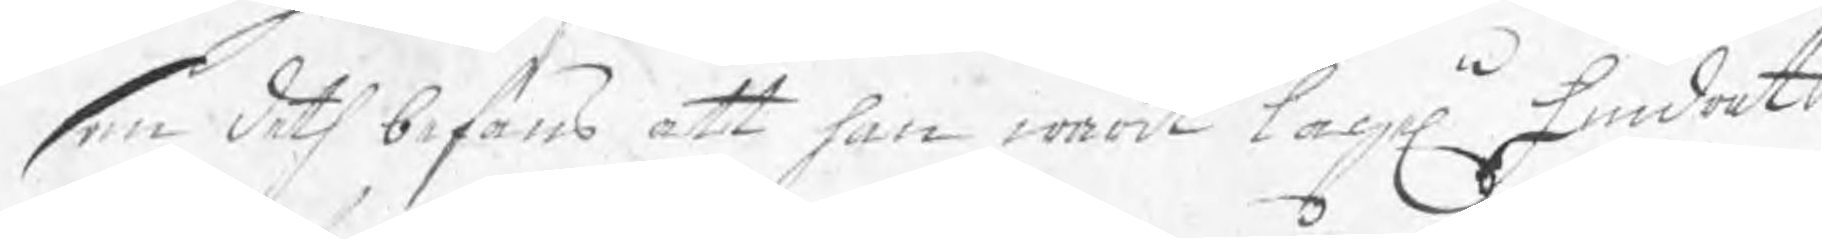som deth befans att han warit lageln hindrat 
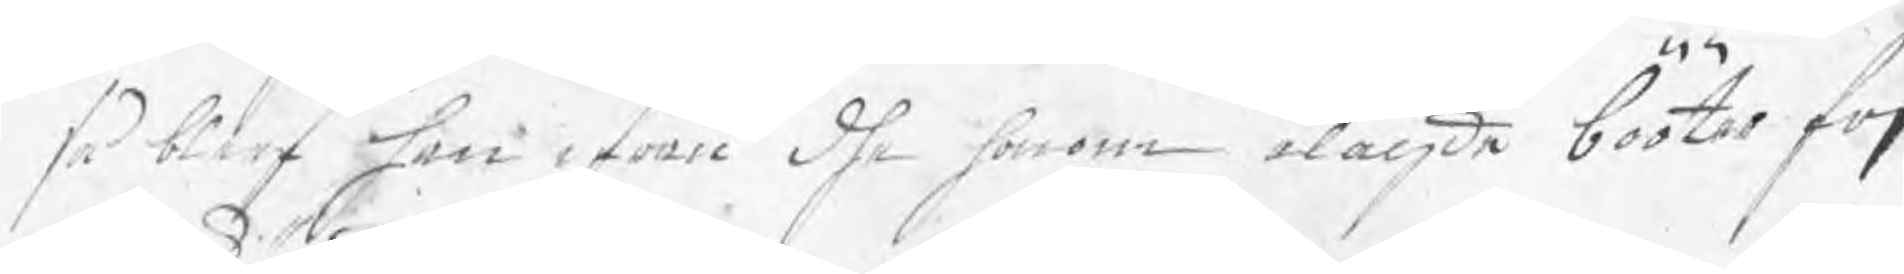så blef han ifrån dhe honom ålagde bööter frj
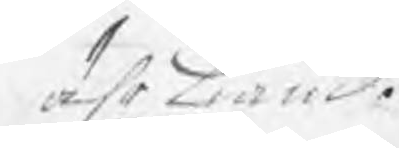ährkiänd.
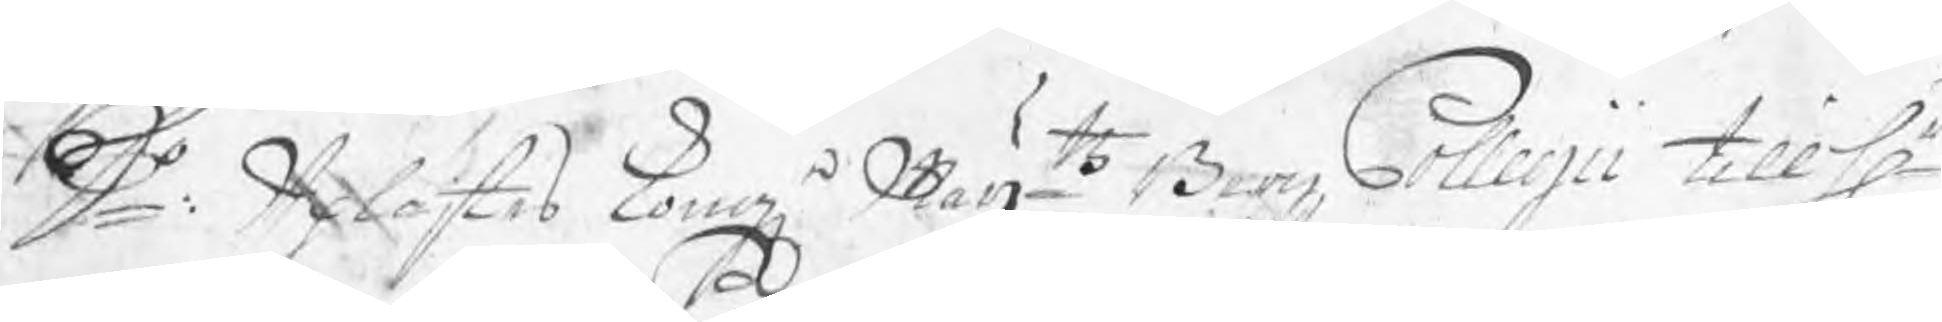D:o Uplästes Kong Maijtz Bergz Collegii till Hr
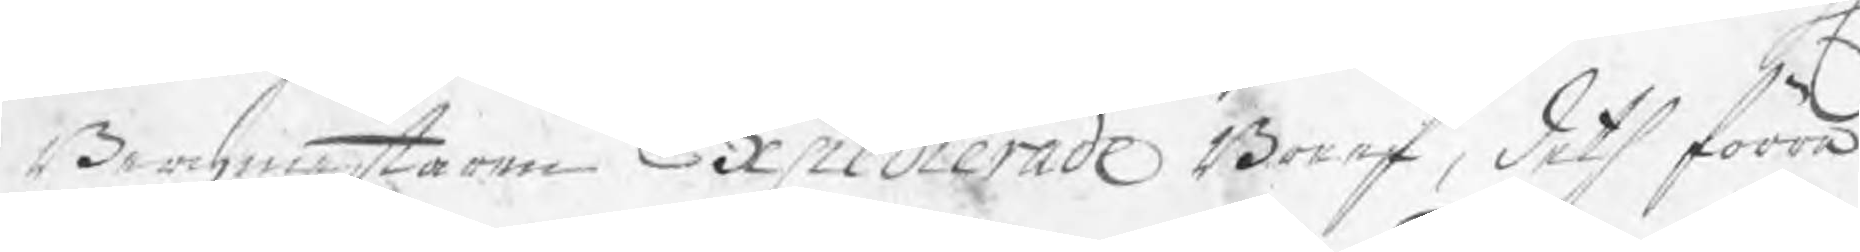Bergmestaren Expedierade Breef, deth förra
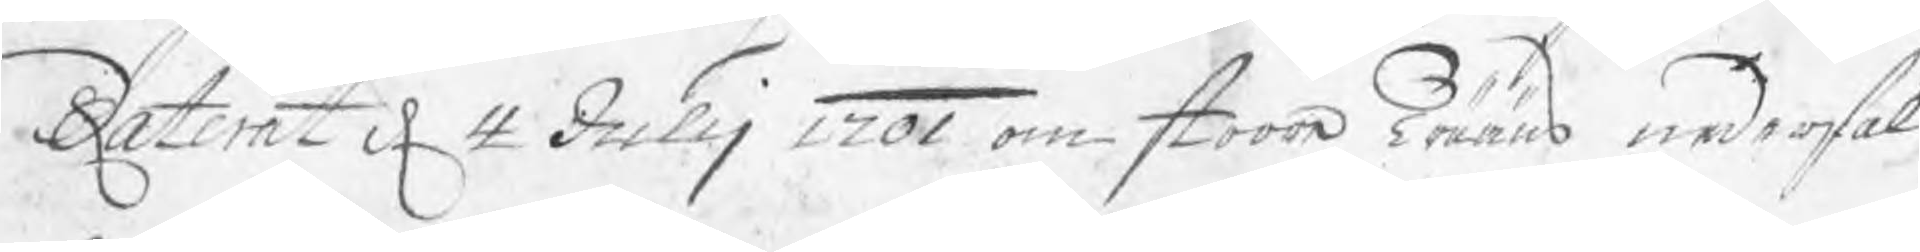daterat d 4 Julij 1701 om stoora Trääns nederfäl¬
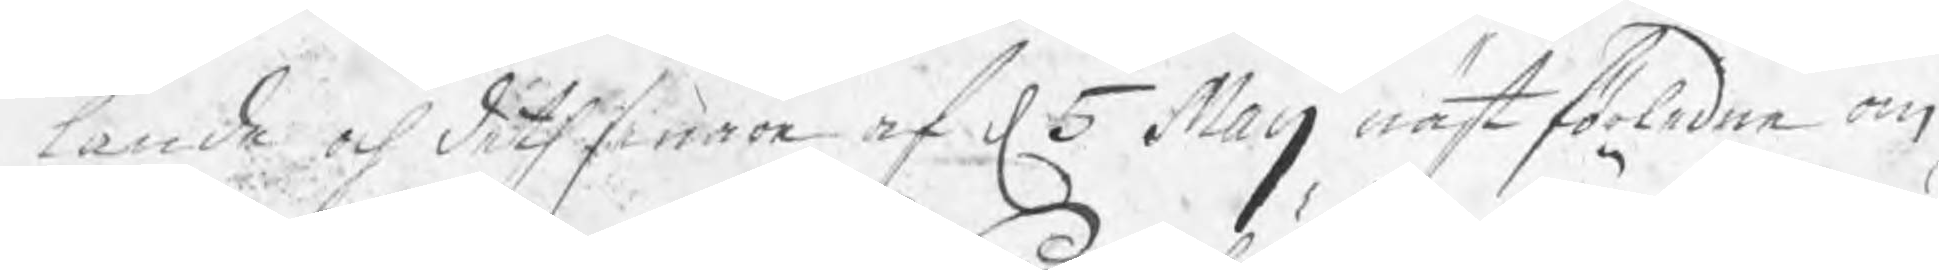lande och deth senare af d 5 Maij nästförledne om
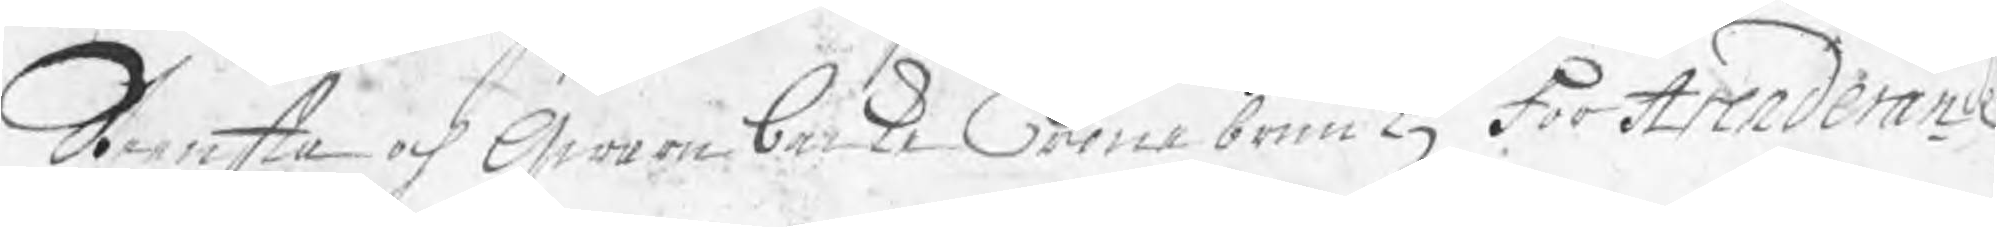Stensta och Qwarnbacke Crone bruukz för Arrenderande.
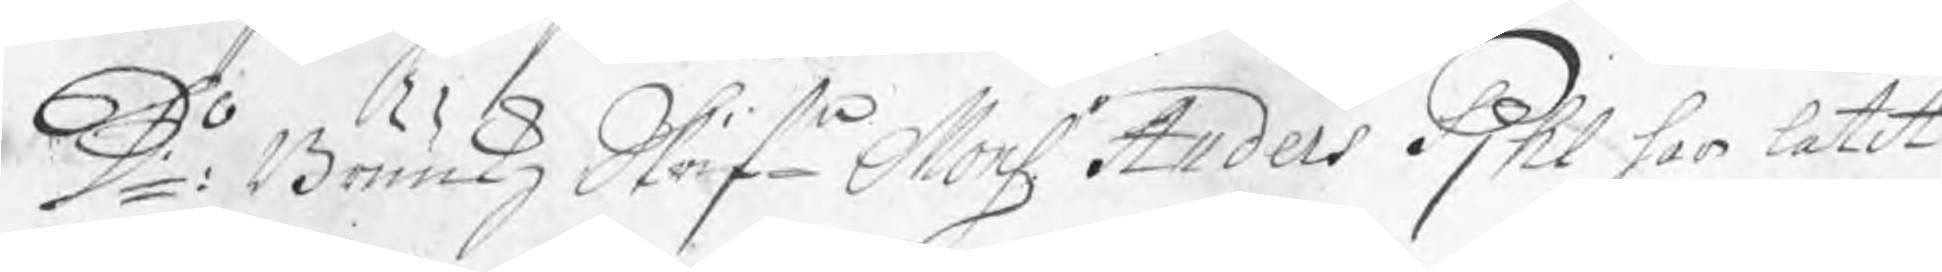D:o Brukkz Skrife Monsr Anders Pjhl har låtit
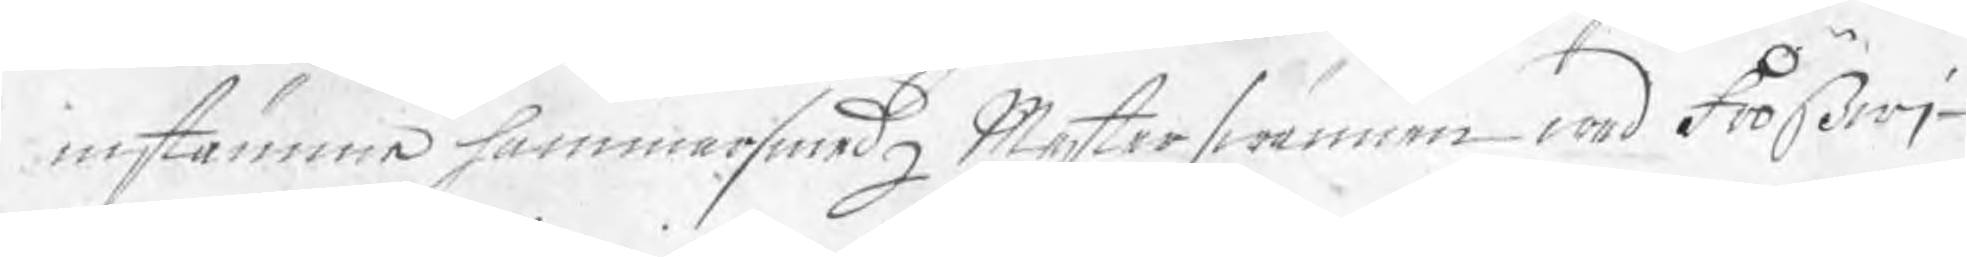instämma hammarsmedz Mesterswännen wed Frößwj¬
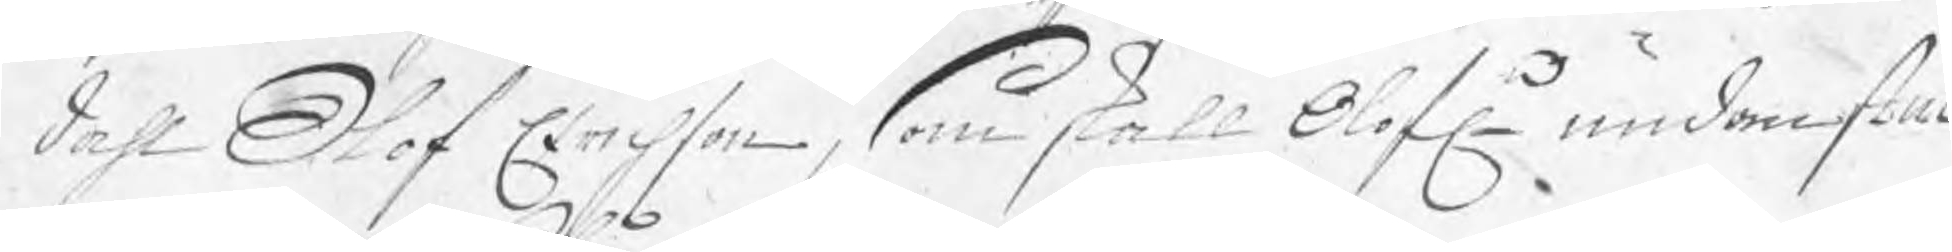dahl Olof Erichson, som skall Olofn undan stuc¬
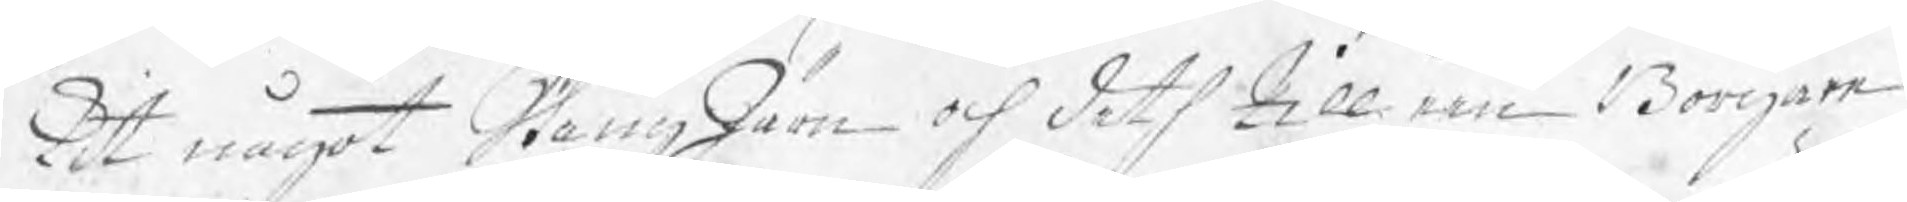kit något StångJärn och deth till een Borgare
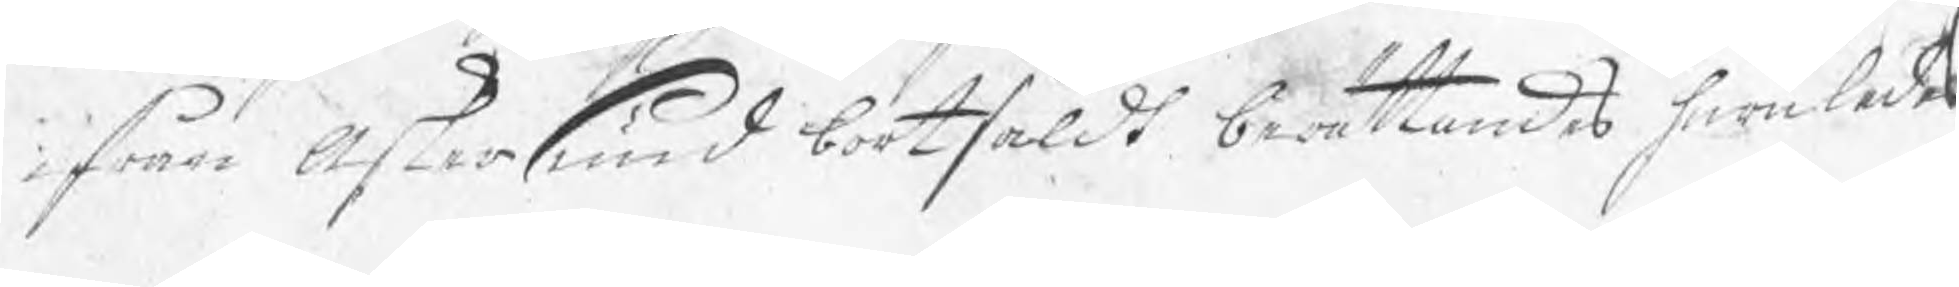i från Askersund bortsåldt berättandes huruledes
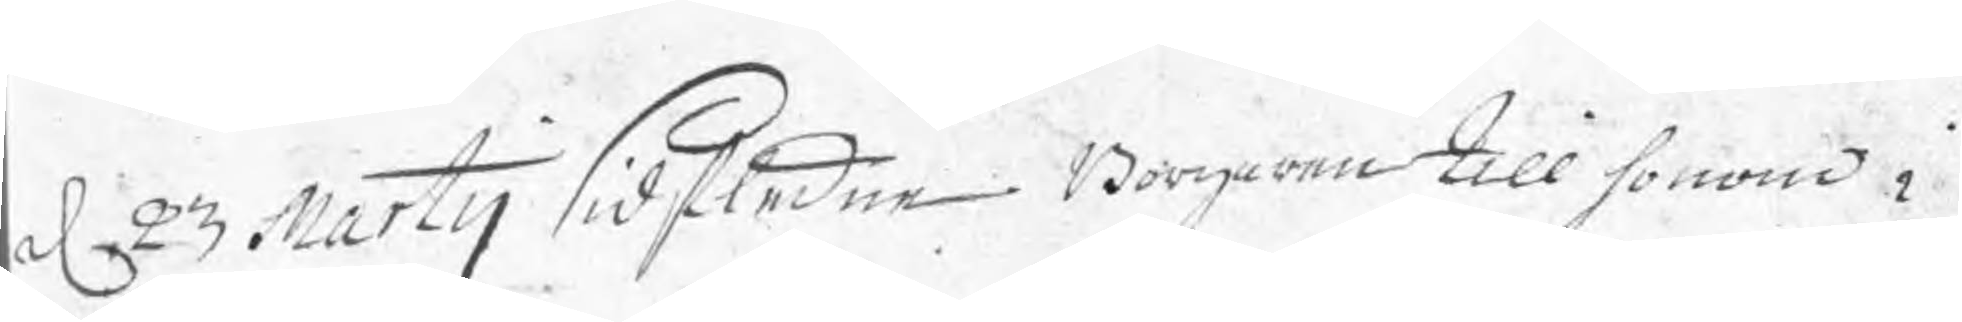d 23 Martij sidstledne. Borgaren till honom i
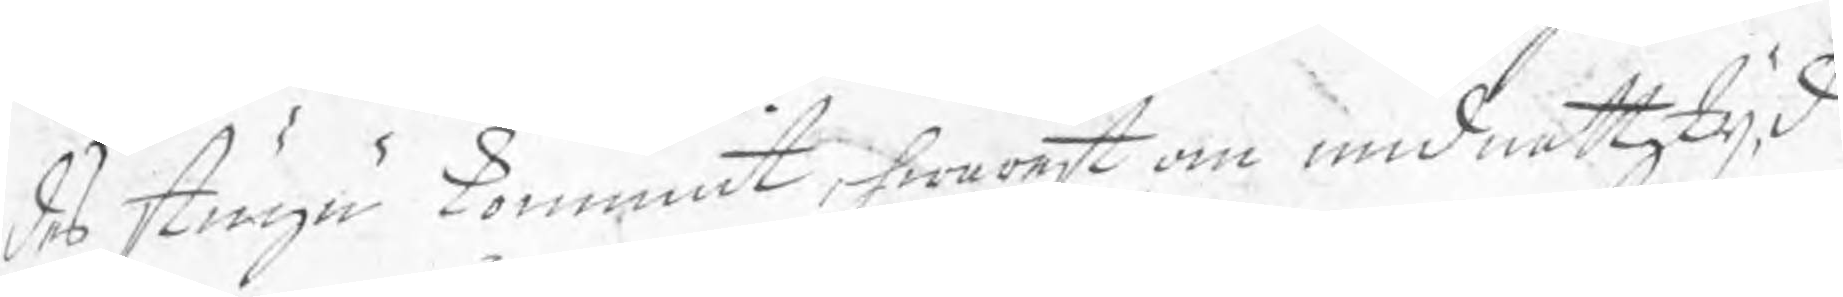des stugu kommit, hwarest om midnattztijd
